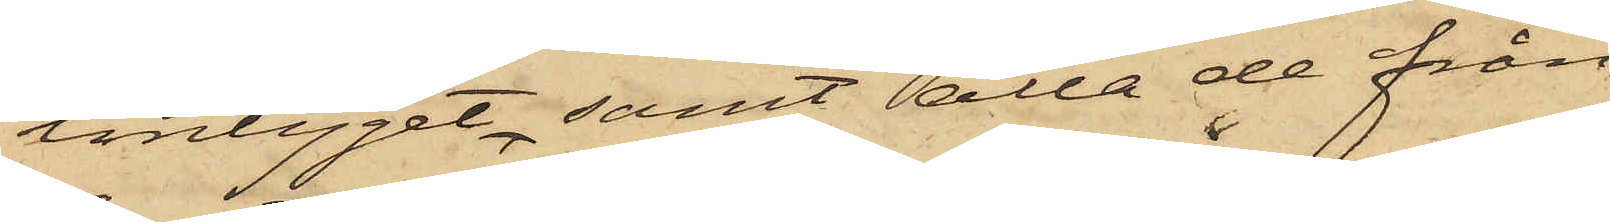lintyget, samt alla de från
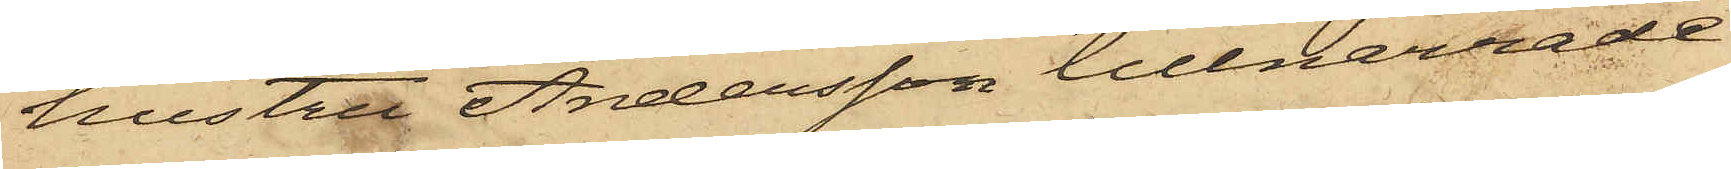hustru Andersson tillnarrade
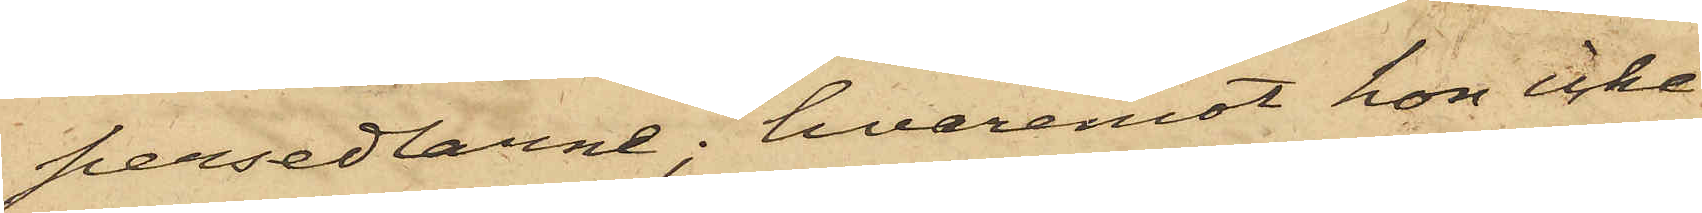persedlarne; hvaremot hon icke
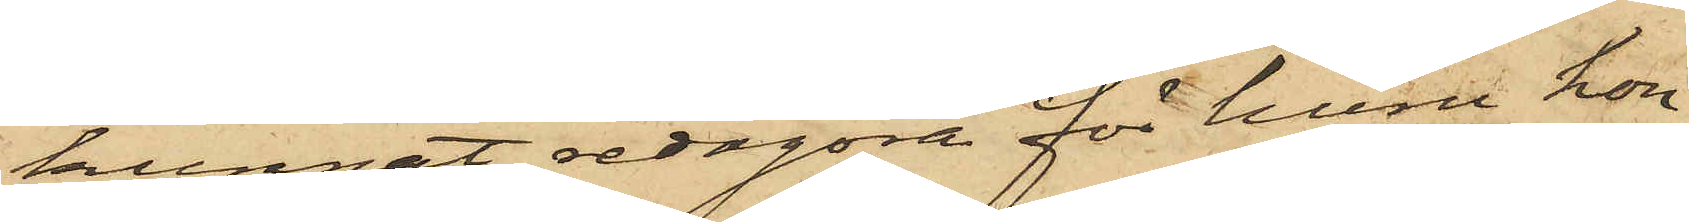kunnat redogöra för huru hon
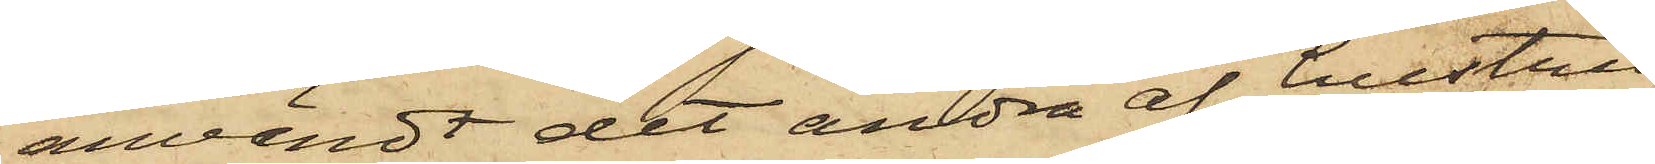användt det andra af hustru
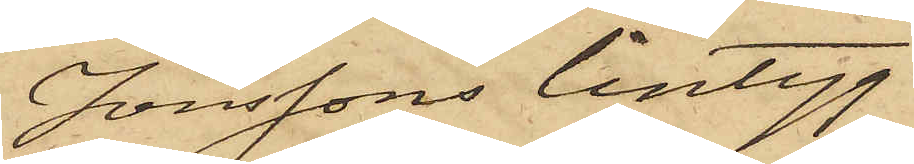Jönssons lintyg.
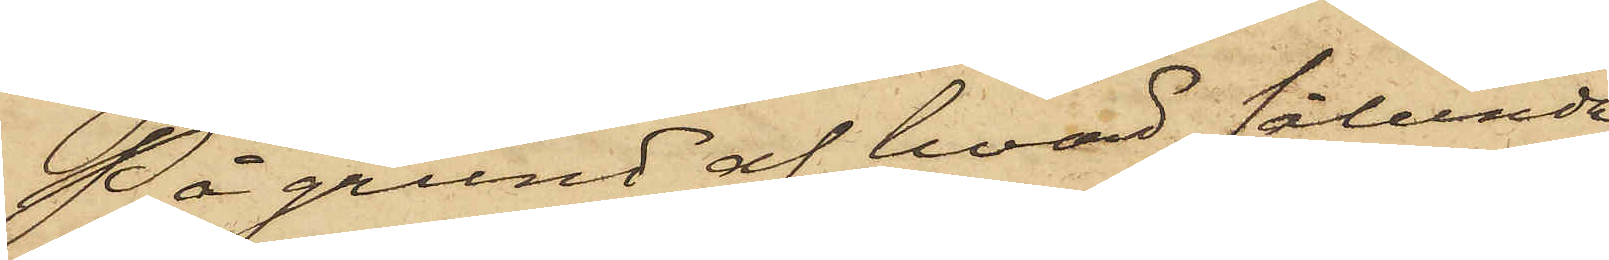På grund af hvad sålunda
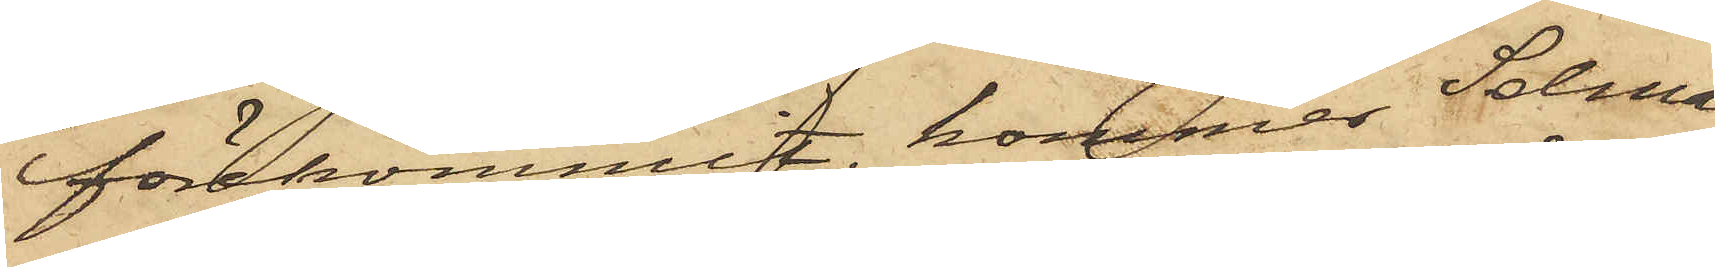förekommit, kommer Selma
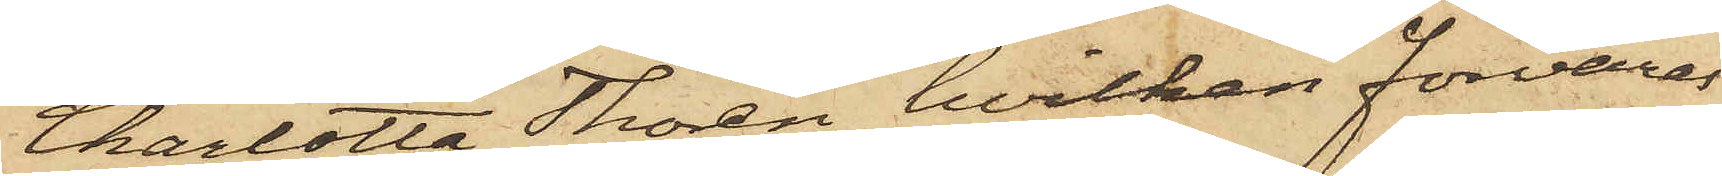Charlotta Thorén, hvilken förvaras
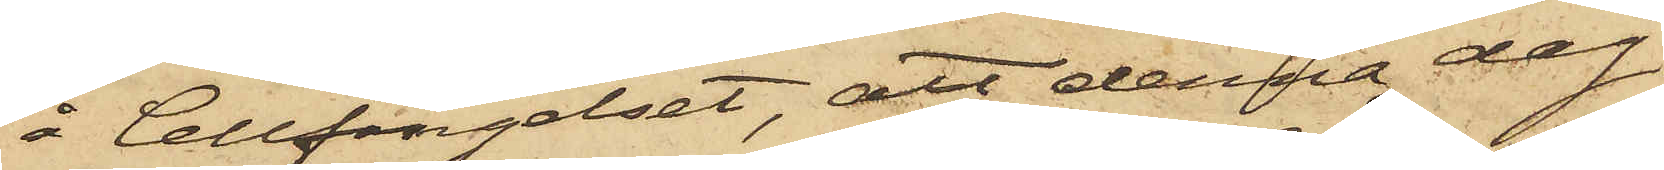å Cellfängelset, att denna dag
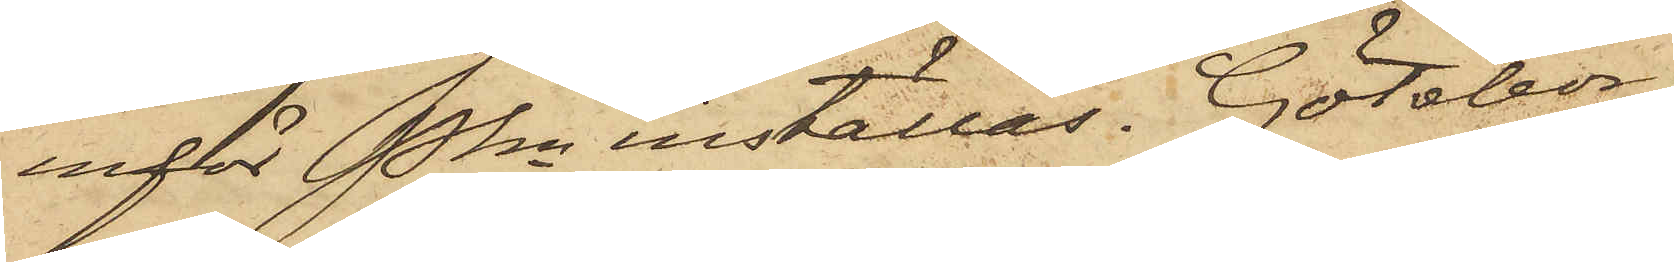inför Pkn inställas. Götebor
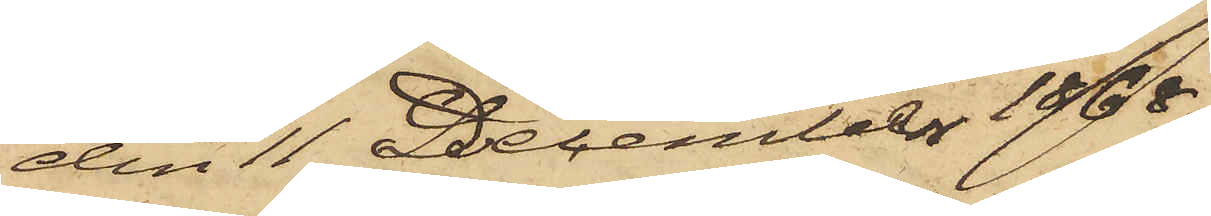den 11 December 1868.
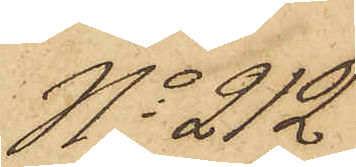No 212
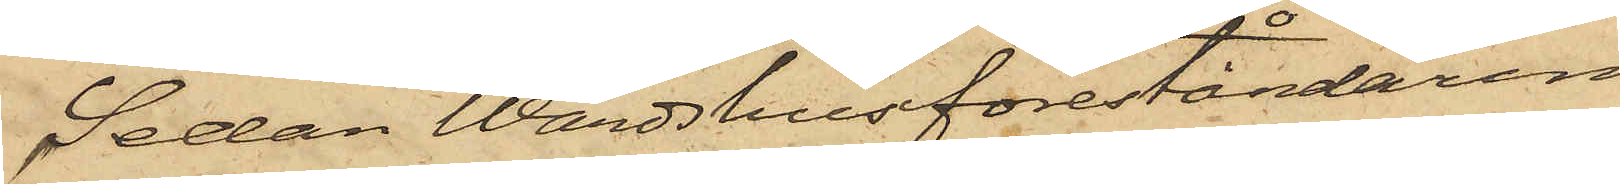Sedan Wärdshusföreståndaren
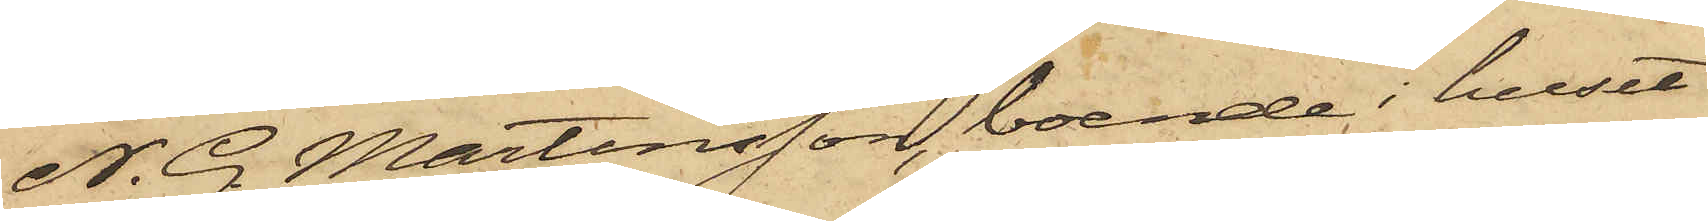N. G. Martinsson, boende i huset
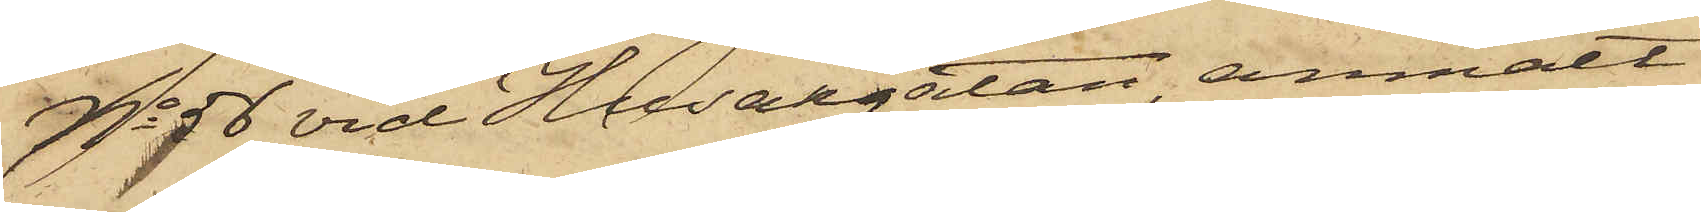No 56 vid Husargatan, anmält
